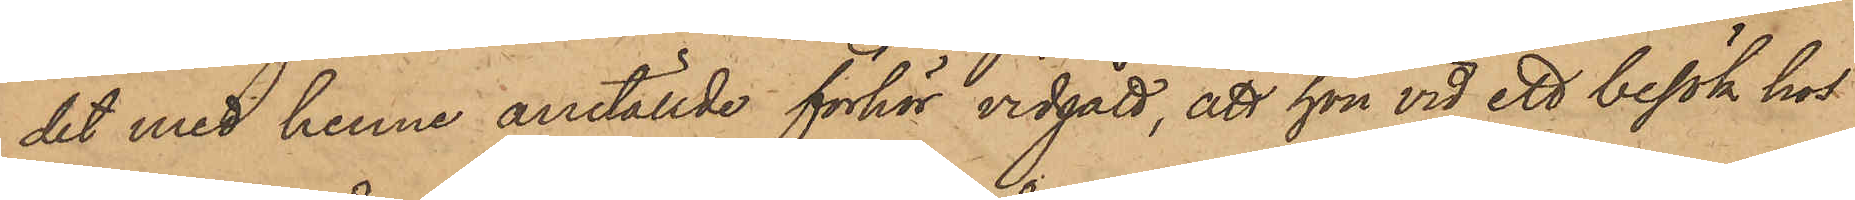det med henne anställde förhör vidgått, att hon vid ett besök hos
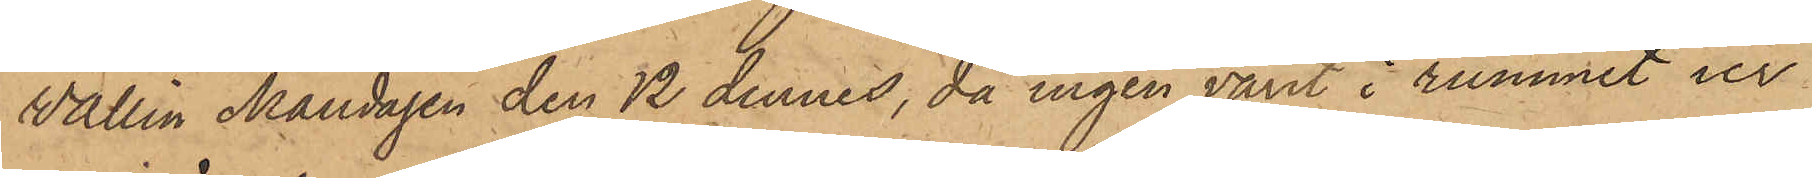Wallin Måndagen den 12 dennes, då ingen varit i rummet ur
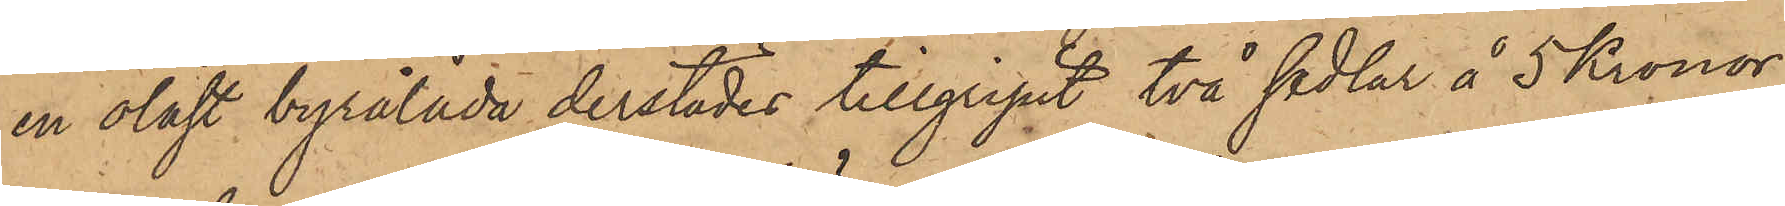en olåst byrålåda derstädes tillgripit två sedlar å 5 Kronor,
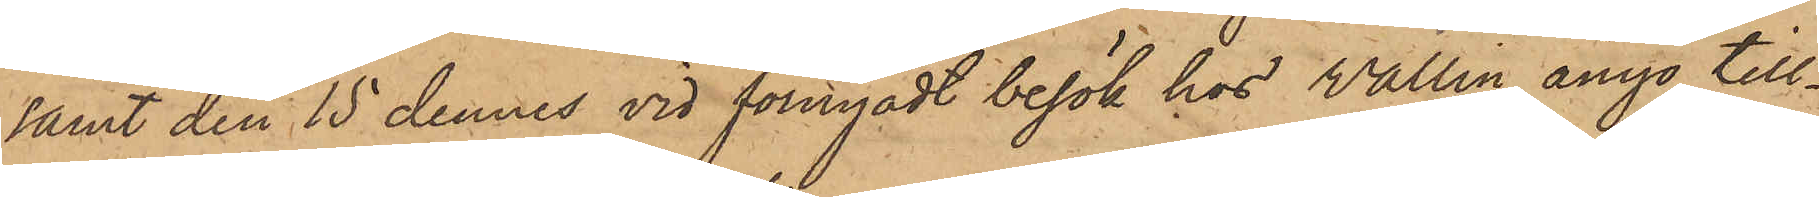samt den 15 dennes vid förnyadt besök hos Wallin ånyo till¬
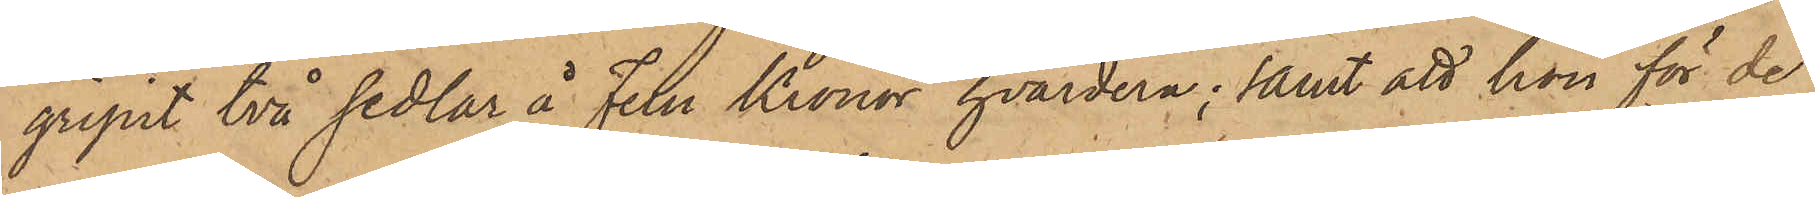gripit två sedlar å Fem Kronor hvardera; samt att hon för de
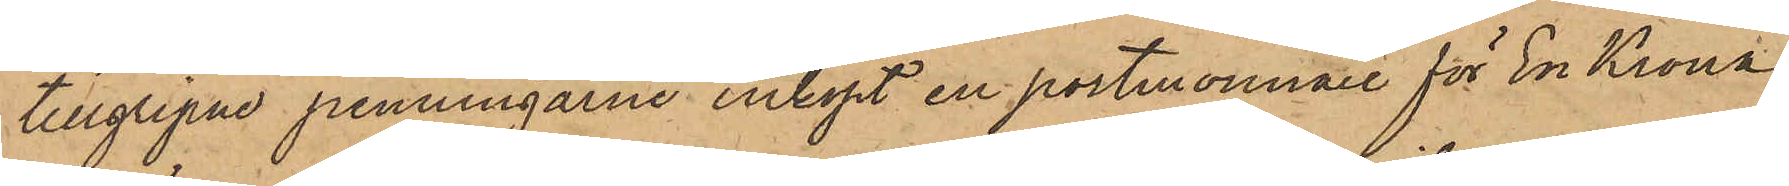tillgripne penningarne inköpt en portmonnaie för En Krona
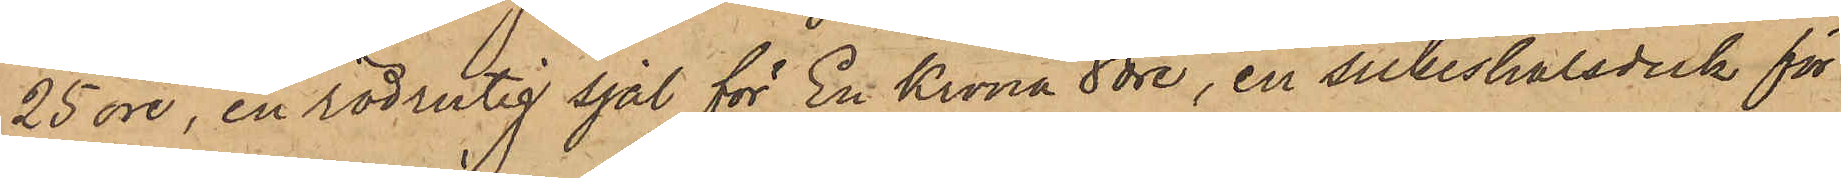25 öre, en rödrutig sjal för En Krona 8 öre, en silkeshalsduk för
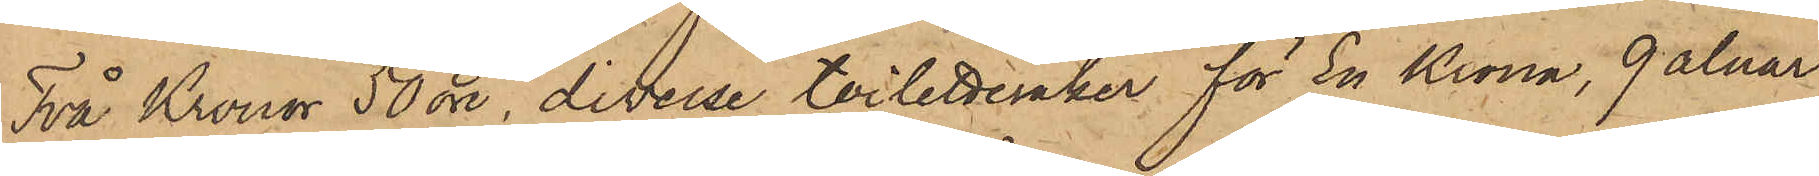Två Kronor 50 öre, diverse toilettesaker för En Krona, 9 alnar
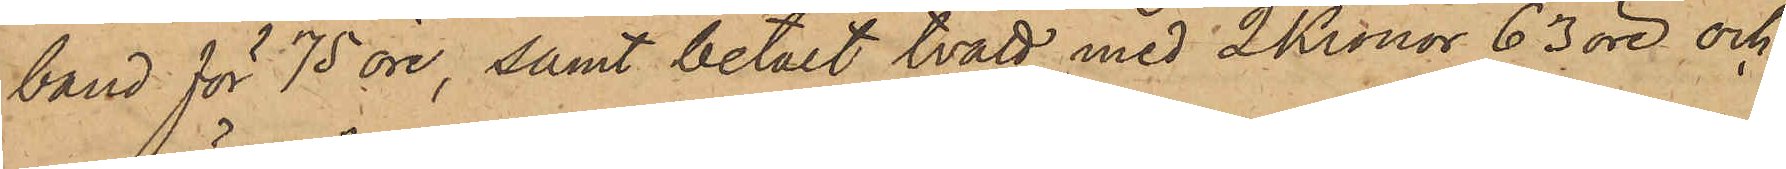band för 75 öre, samt betalt tvätt med 2 Kronor 63 öre och
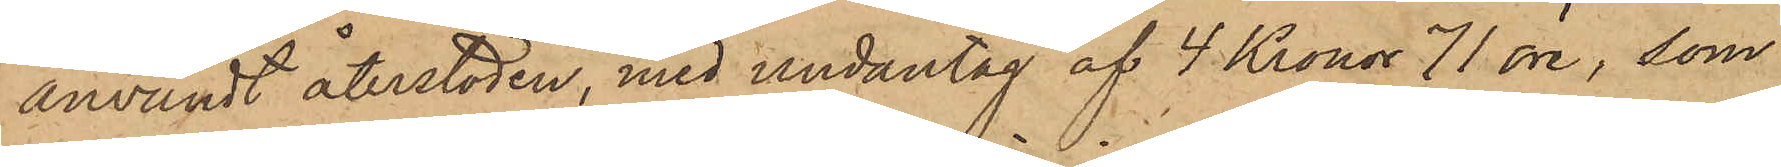användt återstoden, med undantag af 4 Kronor 71 öre, som
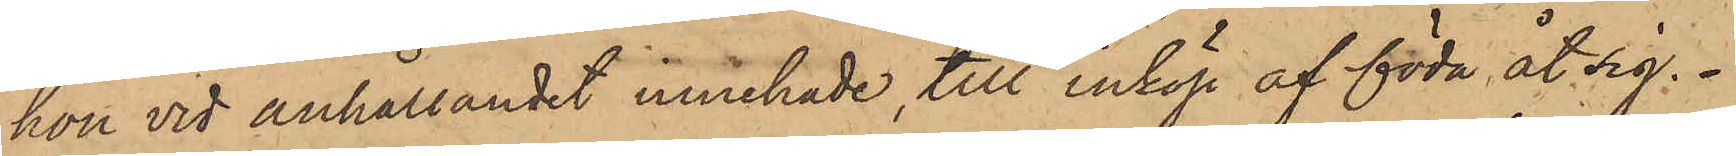hon vid anhållandet innehade, till inköp af föda åt sig.
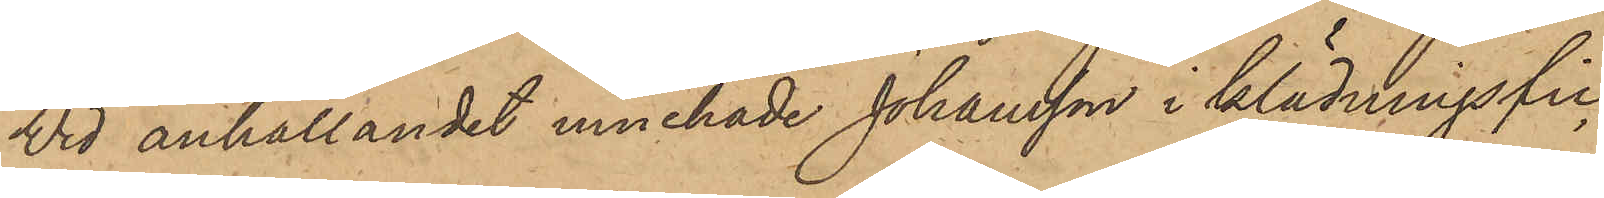Vid anhållandet innehade Johansson i klädningsfic¬
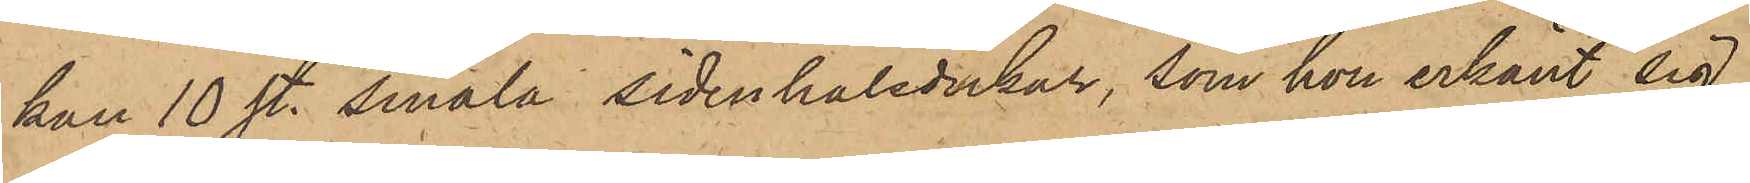kan 10 st. smala sidenhalsdukar, som hon erkänt sig
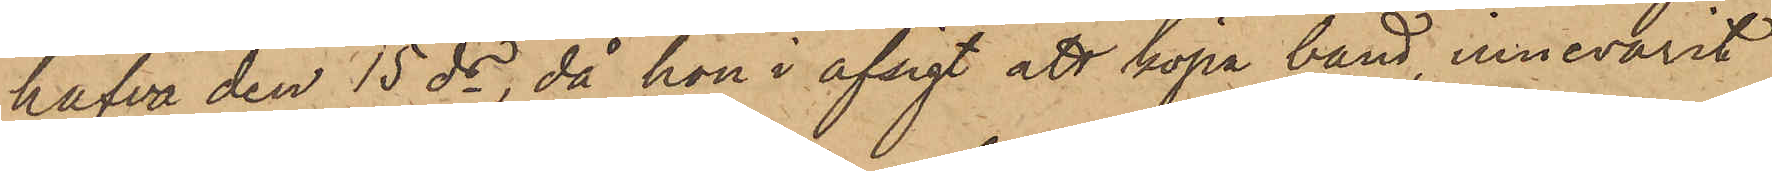hafva den 15 ds, då hon i afsigt att köpa band, innevarit
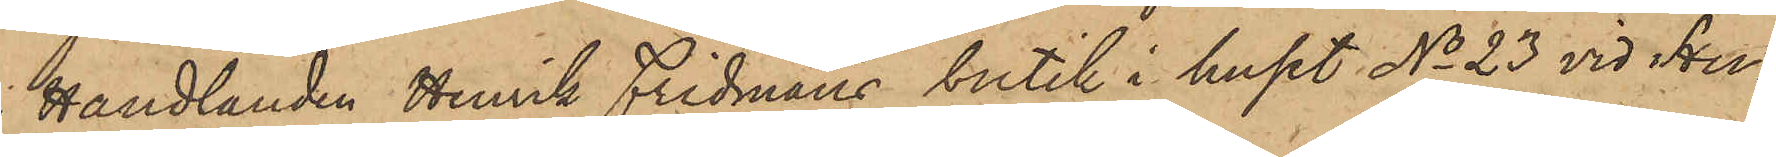i Handlanden Henrik Fridmans butik i huset No 23 vid Hu¬
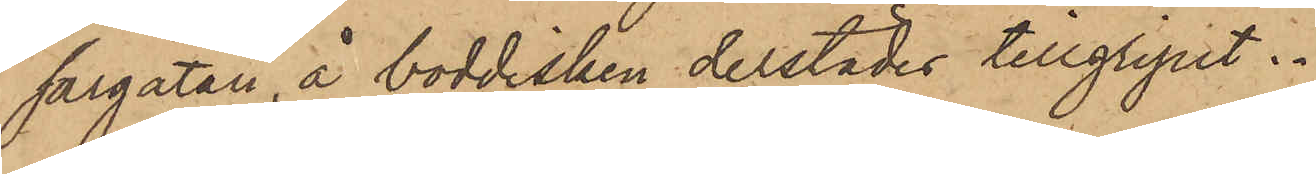sargatan, å boddisken derstädes tillgripit.
